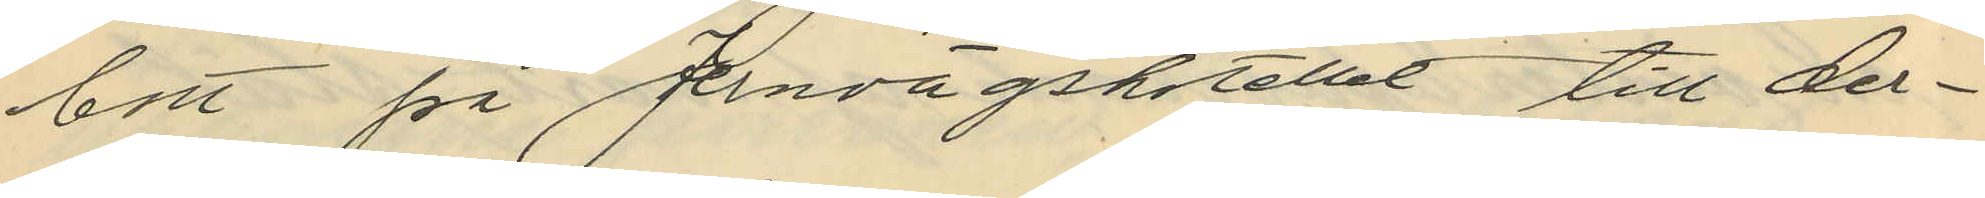bott på Jernvägshotellet till der¬
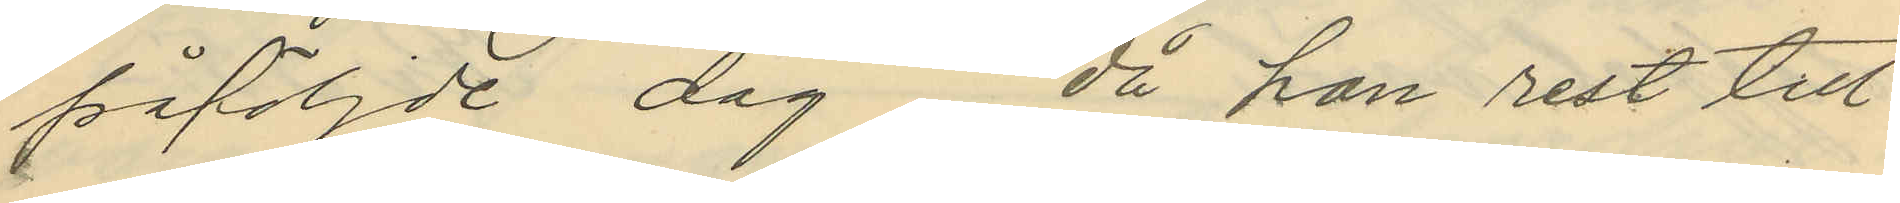påföljde dag, då han rest till
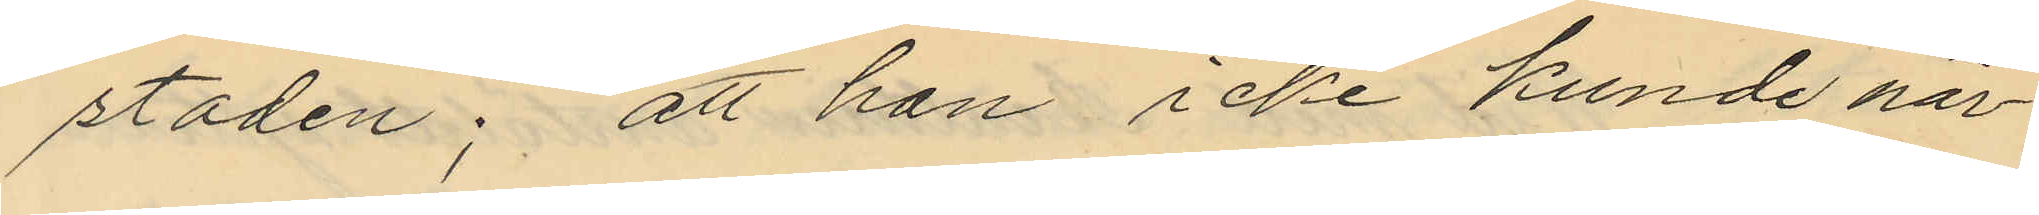staden; att han icke kunde när¬
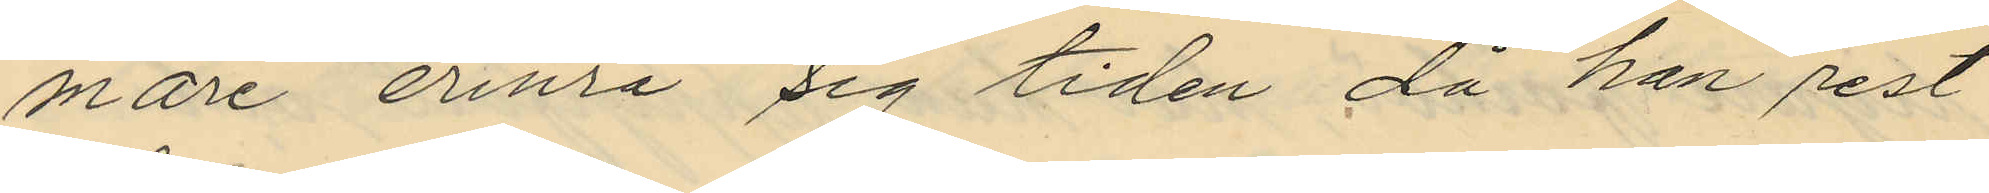mare erinra sig tiden då han rest
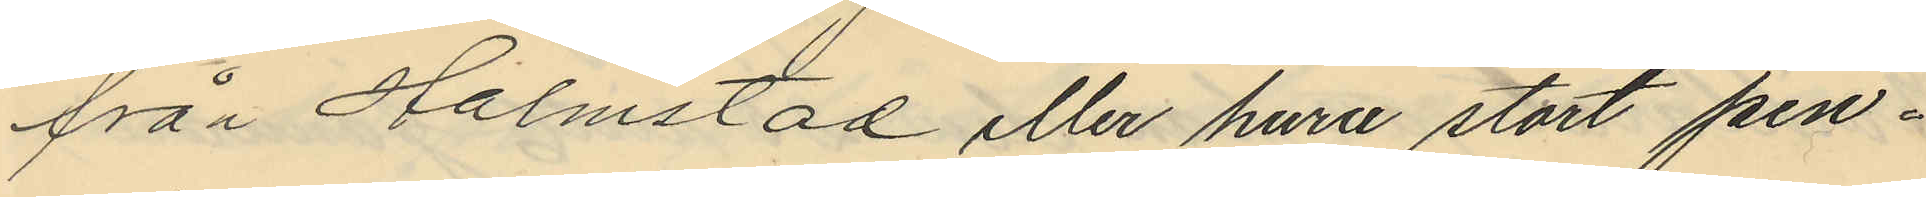från Halmstad eller huru stort pen¬
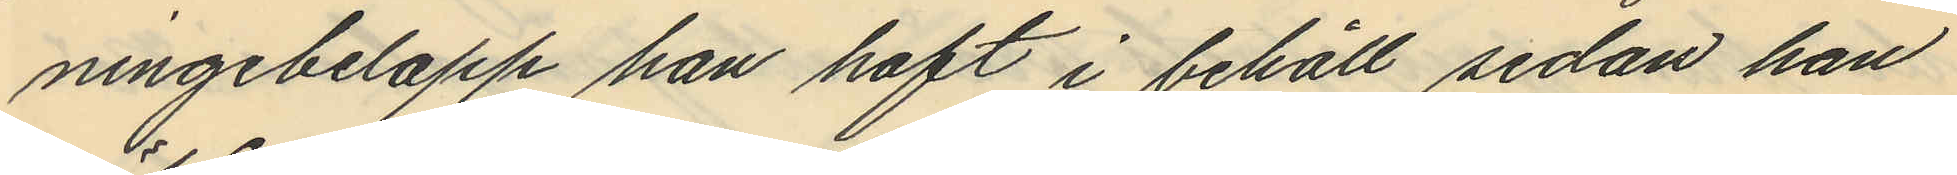ningebelopp han haft i behåll sedan han
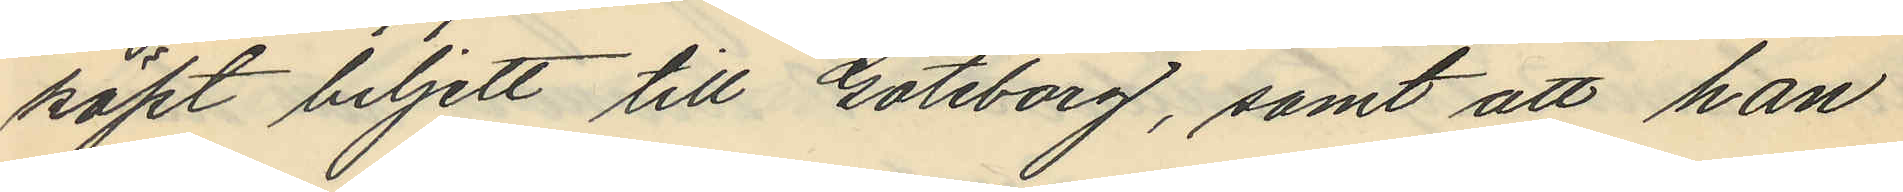köpt biljett till Göteborg, samt att han
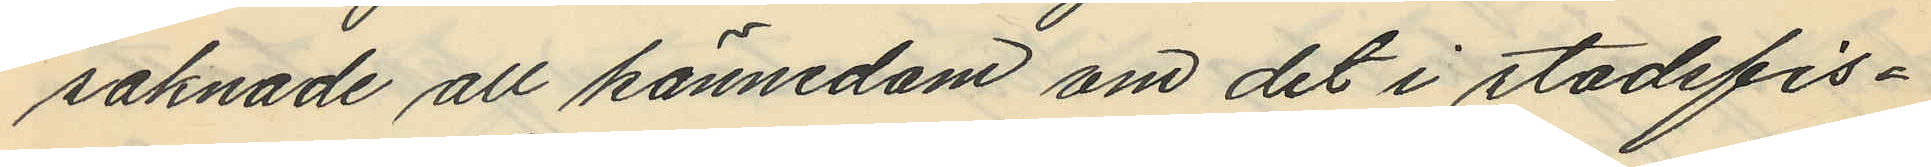saknade all kännedom om det i stadsfis¬
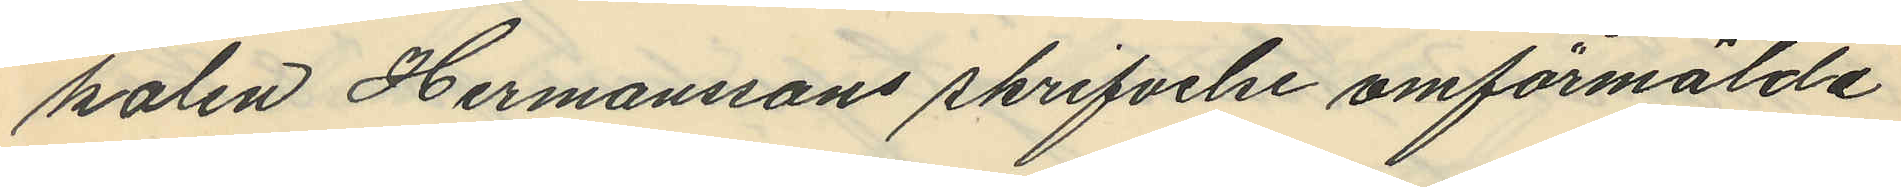kalen Hermanssons skrifvelse omförmälde
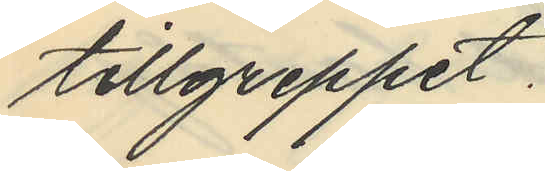tillgreppet.
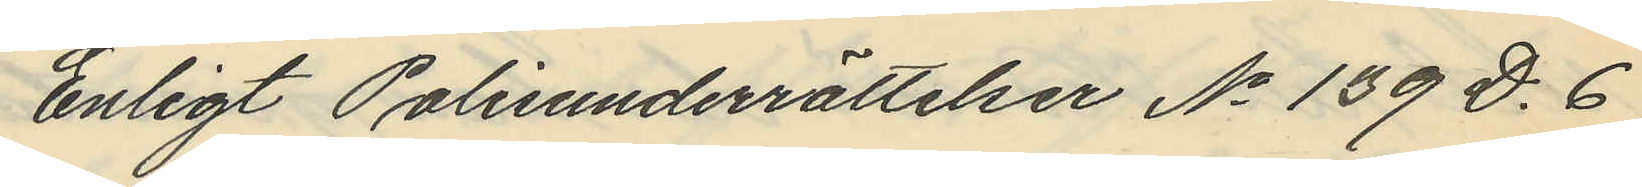Enligt Polisunderrättelser No 139 D. 6
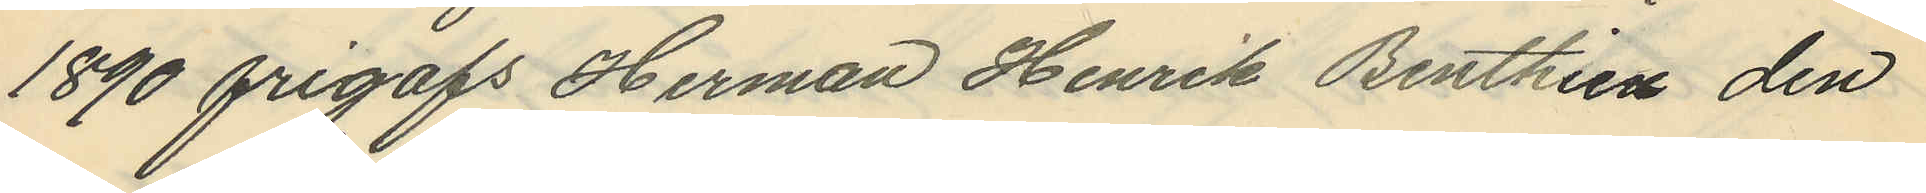1890 frigafs Herman Henrik Benthien den
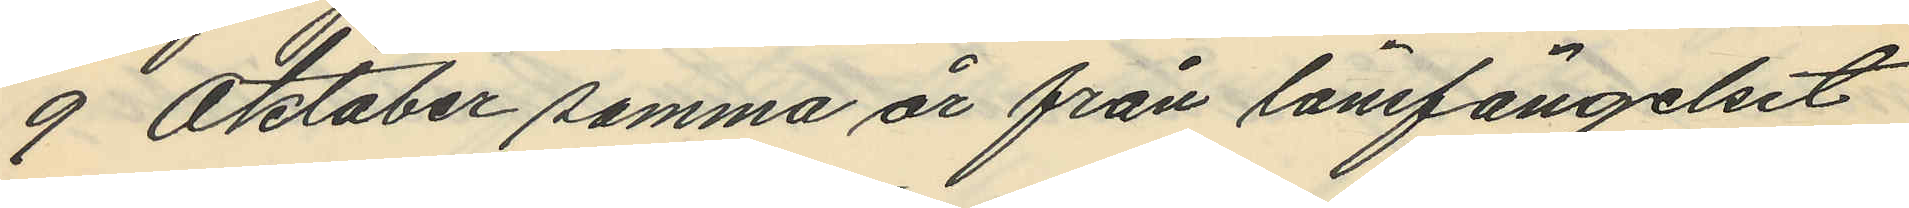9 Oktober samma är från länsfängelset
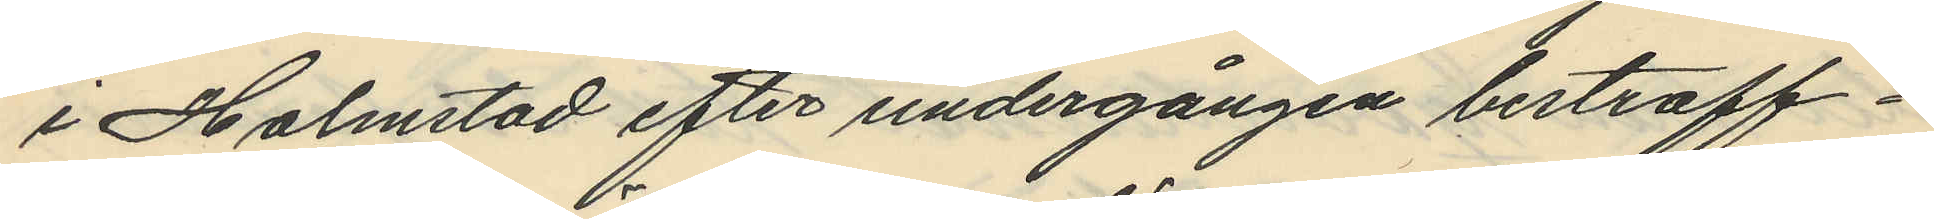i Halmstad efter undergången bestraff¬
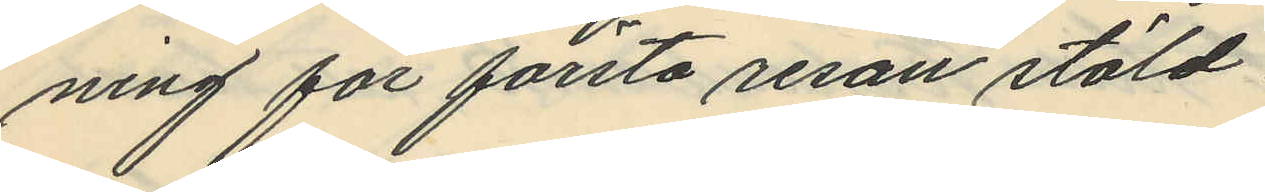ning för första resan stöld.
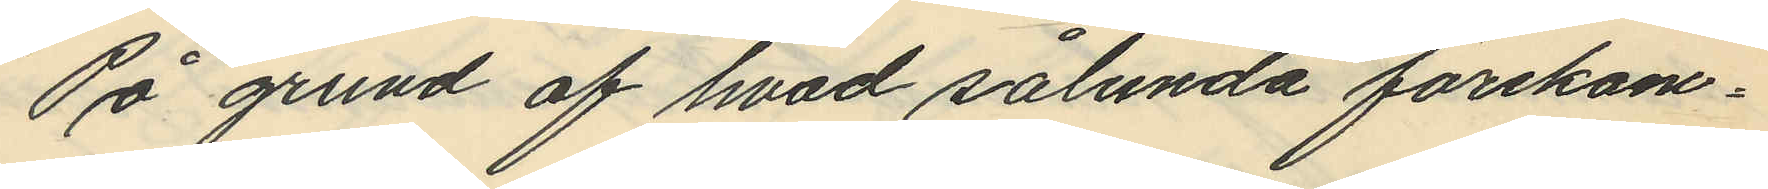På grund af hvad sålunda förekom¬
